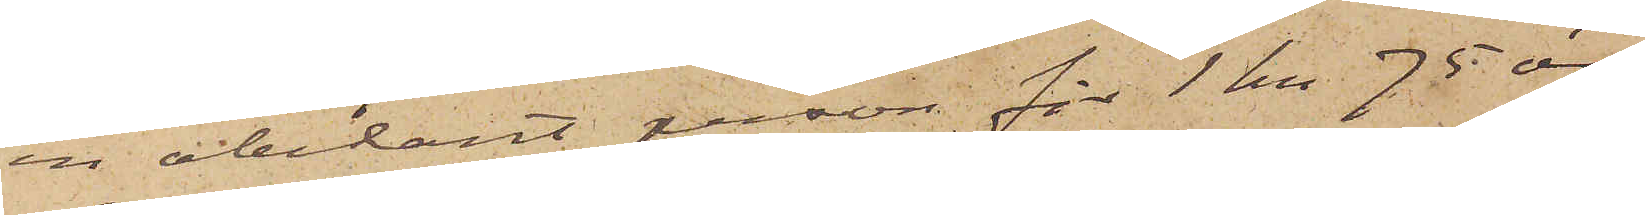en obekant person för 1 kr 75 öre
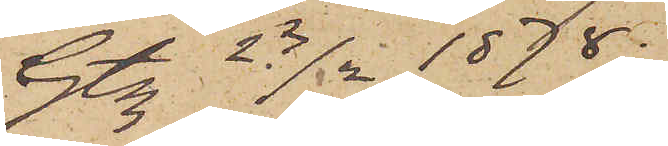Gtbg 23/2 1878.
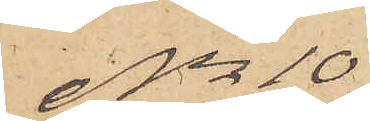No 10
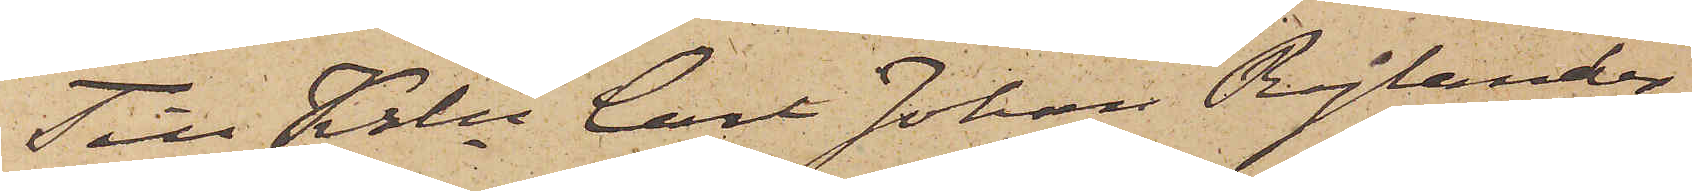Till Krln Carl Johan Rylander
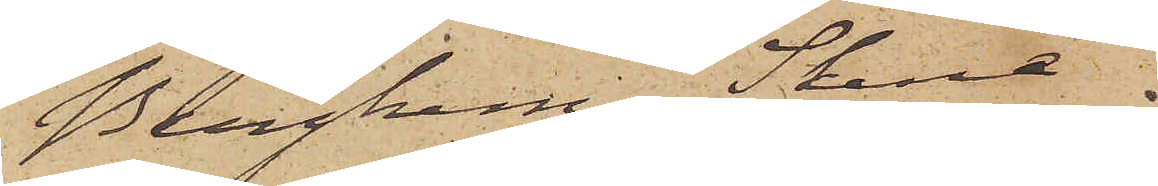Berghem, Skene
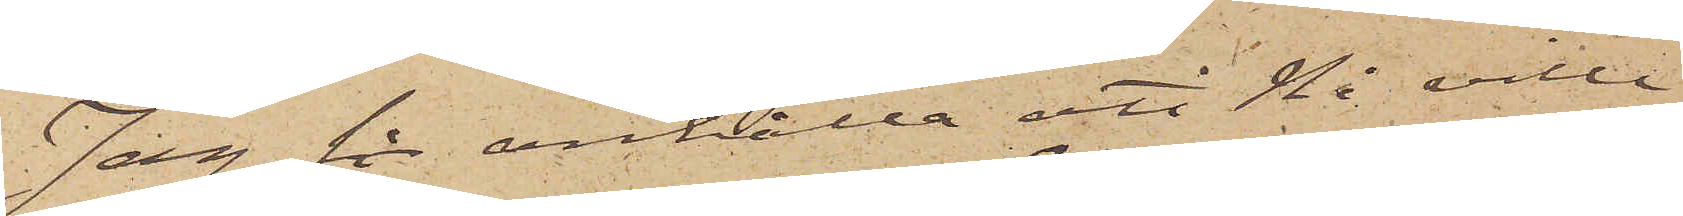Jag får anhålla att Ni ville
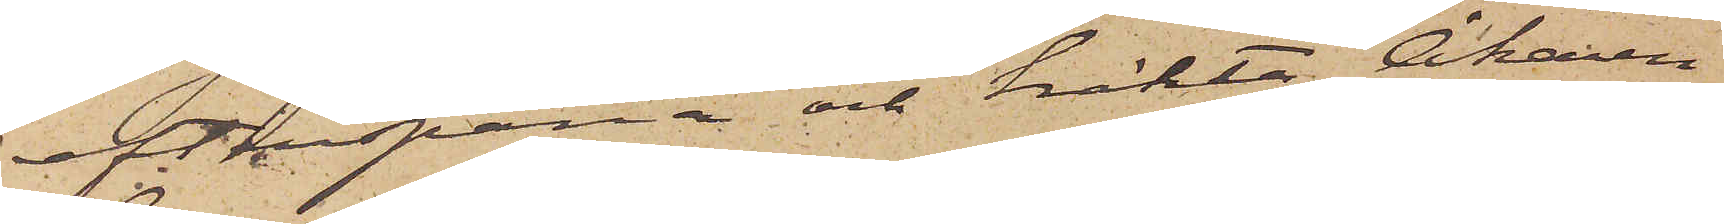efterspana och häkta Åkaren
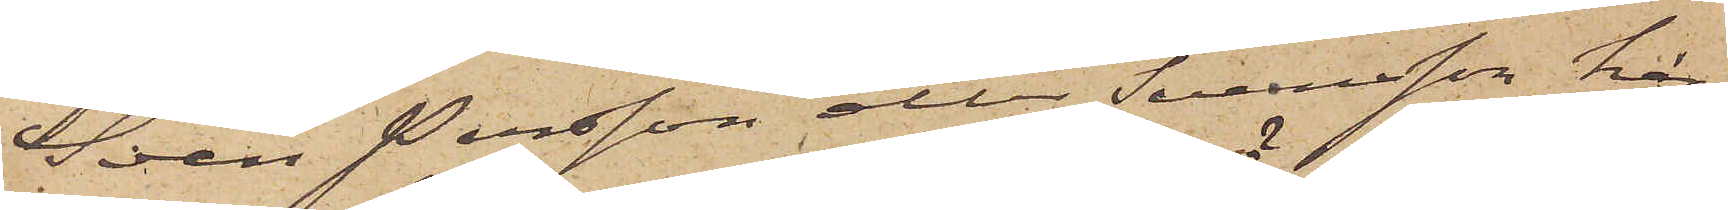Sven Persson eller Svensson här¬
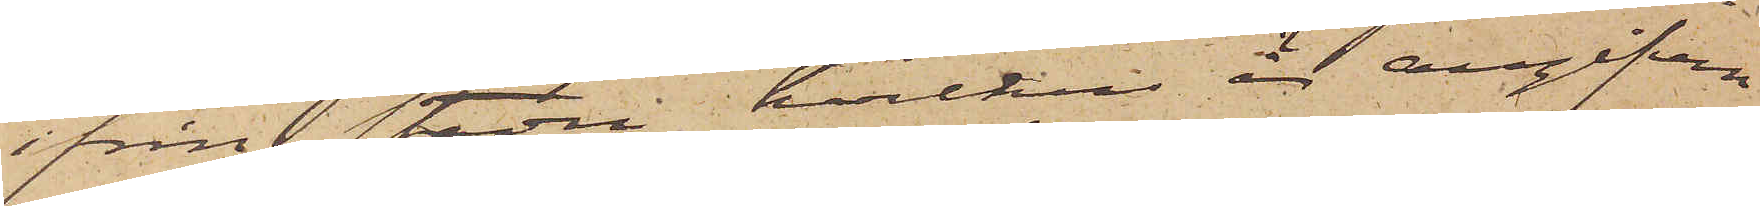ifrån staden, hvilken är angifven
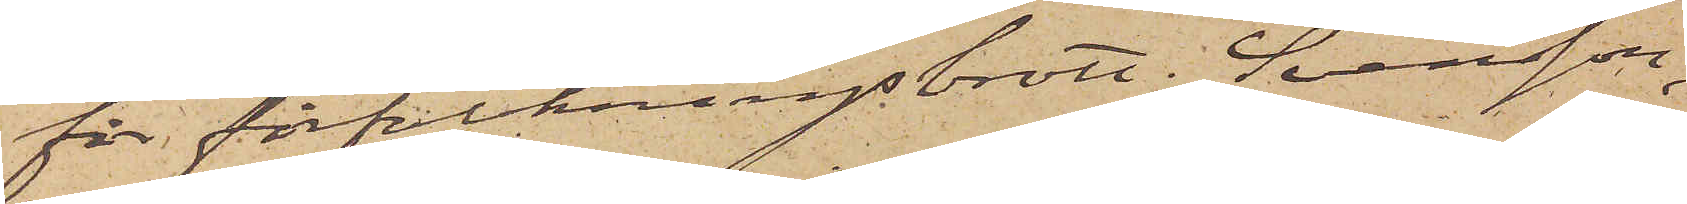för förfalskningsbrott. Svensson,
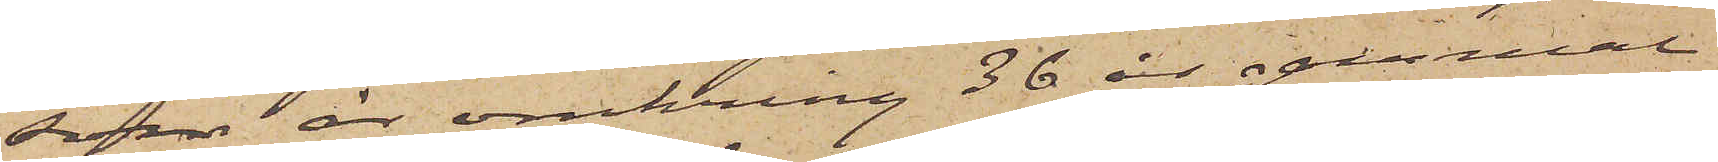som är omkring 36 år gammal
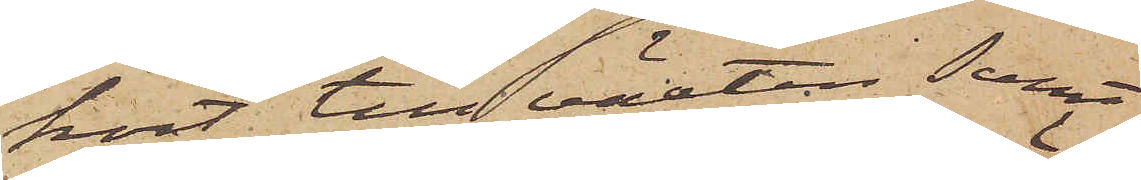kort till växten samt
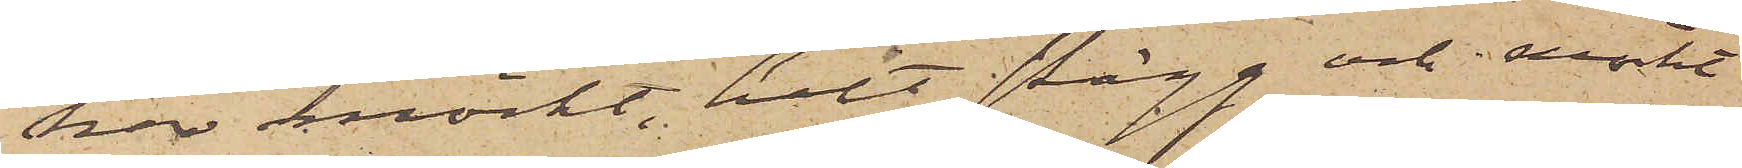har mörkt, helt skägg och mörkt
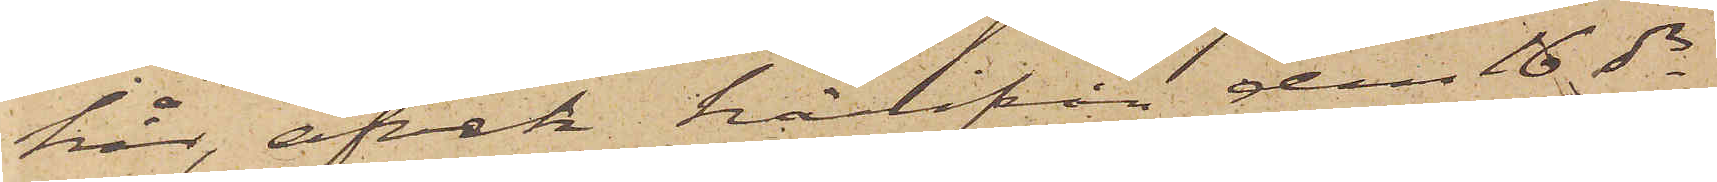hår, afvek härifrån den 16 ds
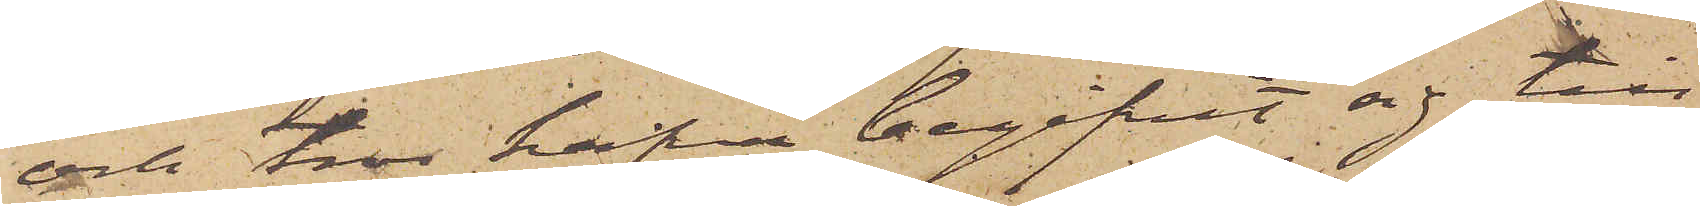och tros hafva begifvit sig till
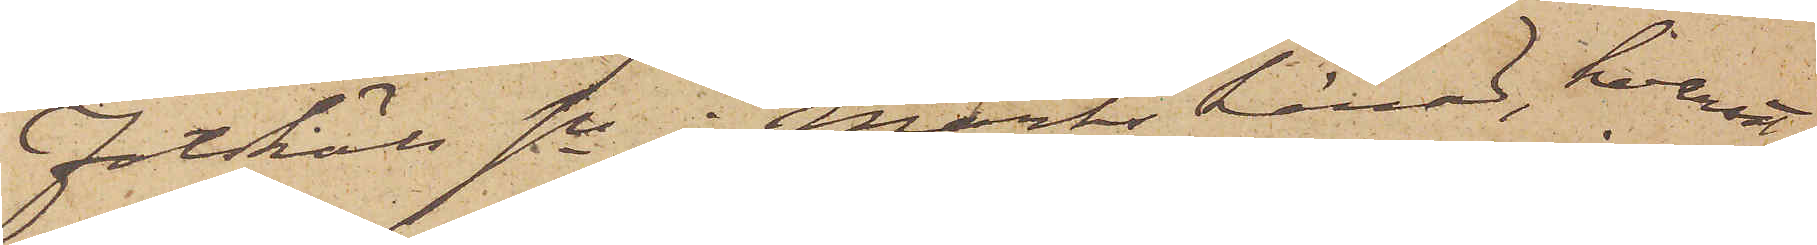Fotskäls sn i Marks härad, hvarest
